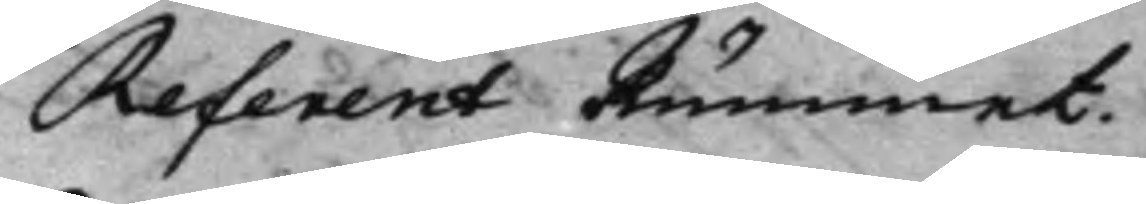Referent Rummet.
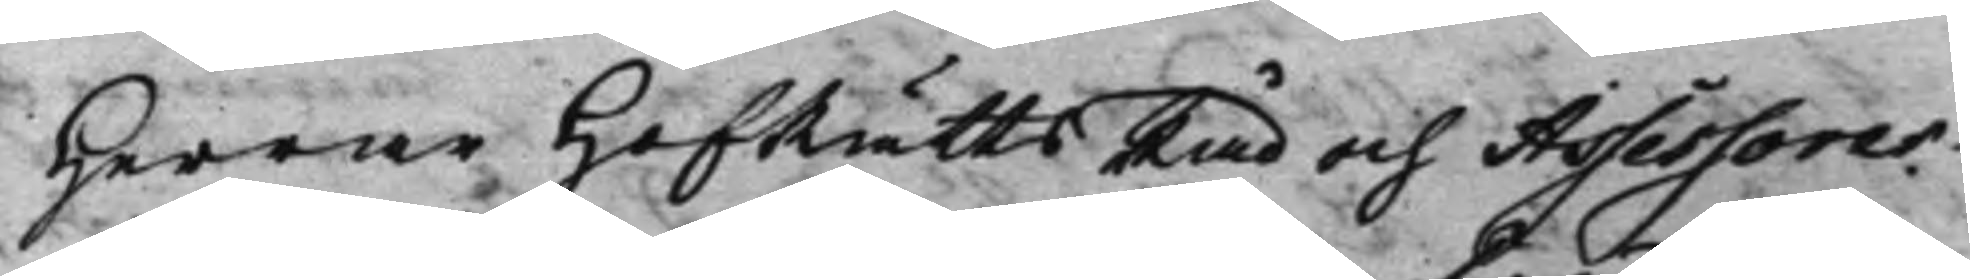Herrar HofRättsRåd och Assessorer
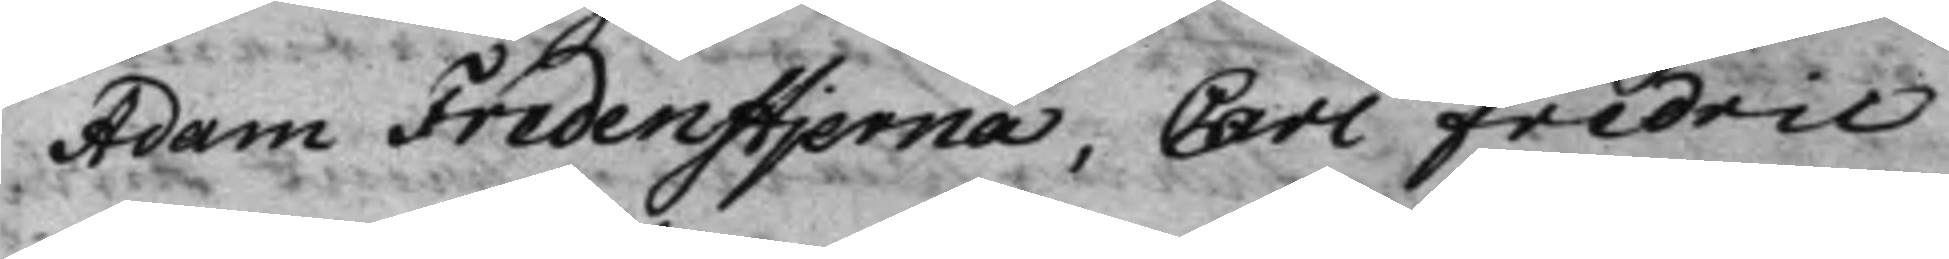Adam Fredenstjerna, Carl Fredric
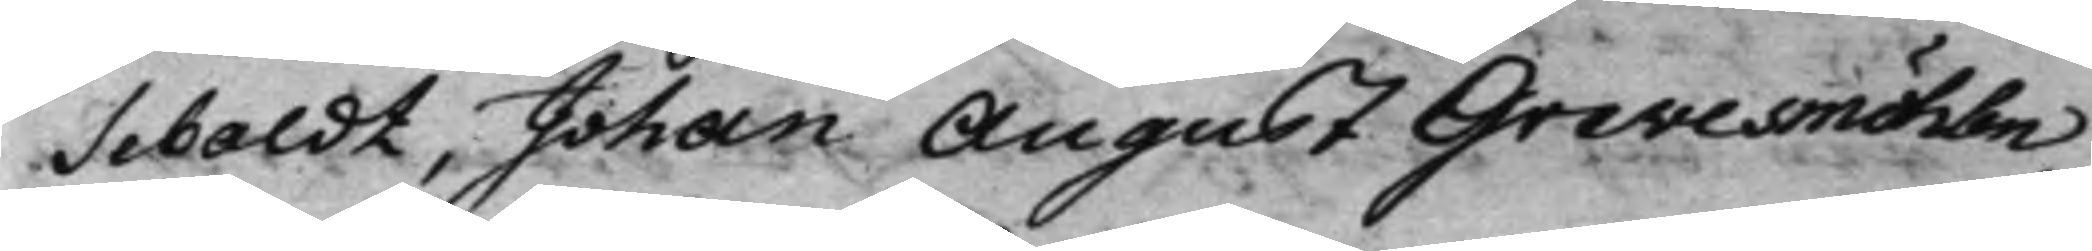Sebaldt, Johan August Grevesmöhlen,
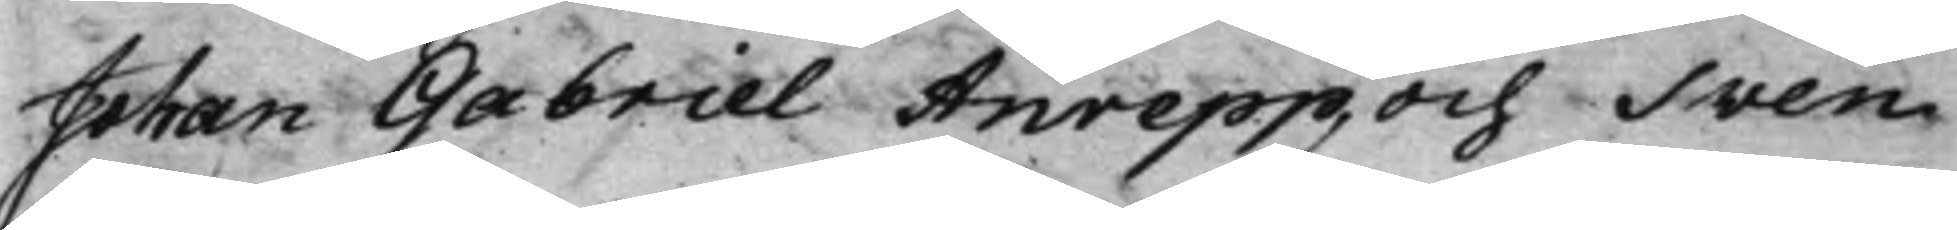Johan Gabriel Anrepp, och Sven
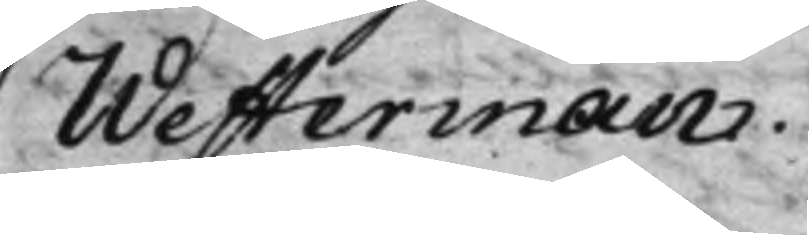Westerman.
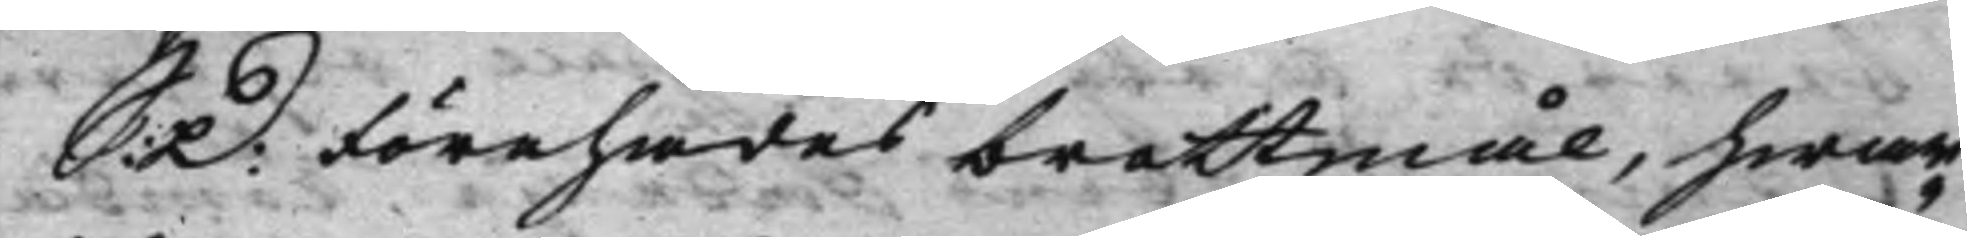S: D: Förehades brottmål, hwar¬
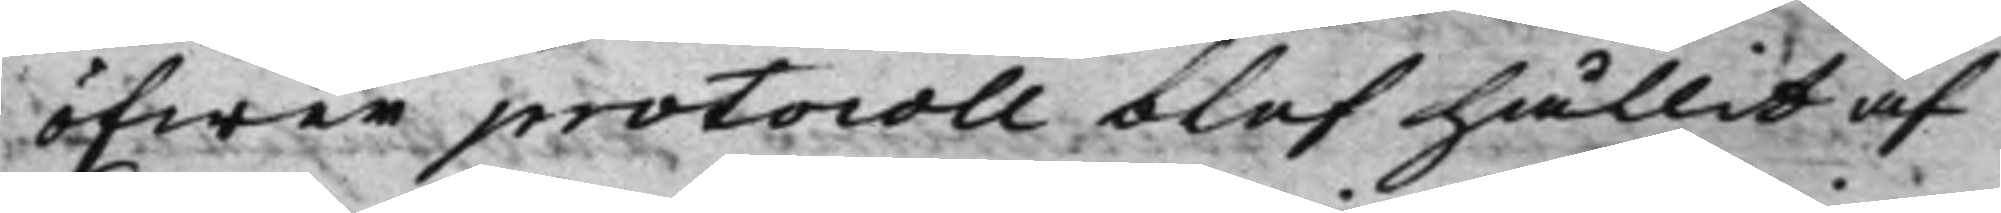öfwer protocoll blef hållit af
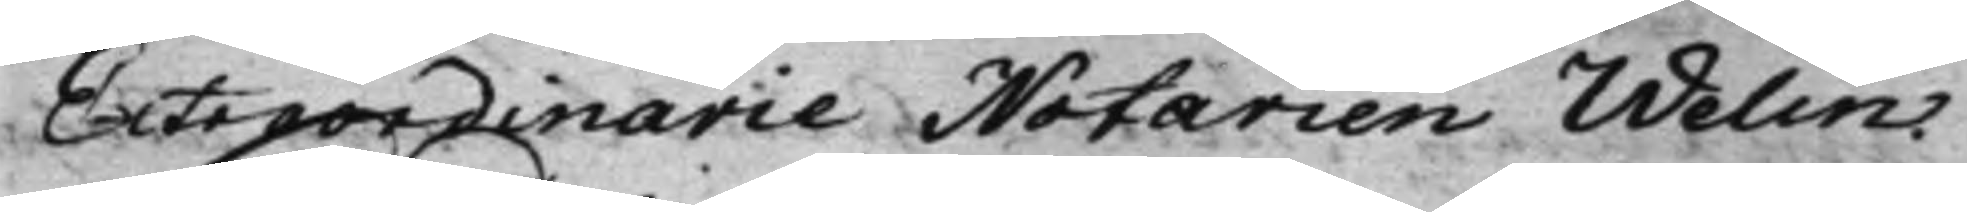Extraordinarie Notarien Welin.
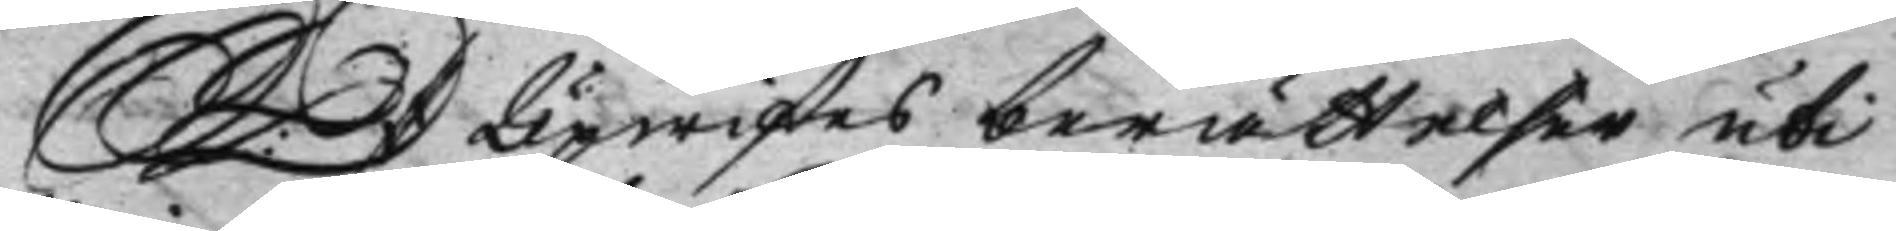S: D: Upwistes berättelser uti
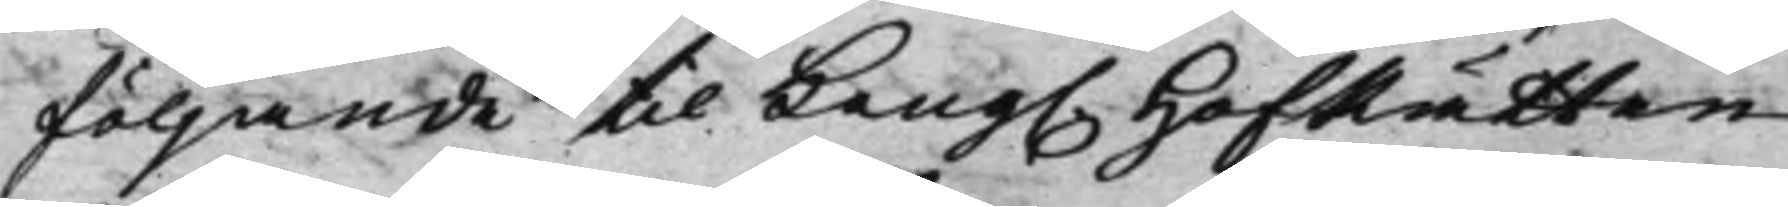följande til Kong. HofRätten
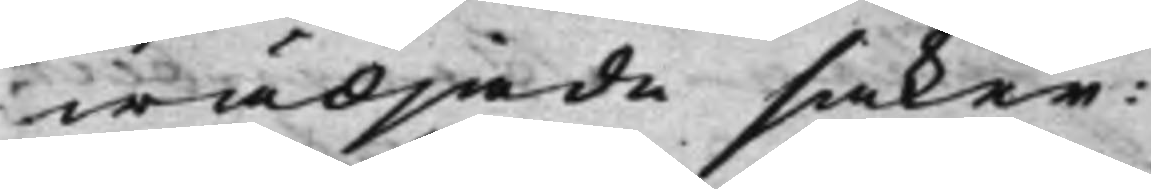wädjade saker:
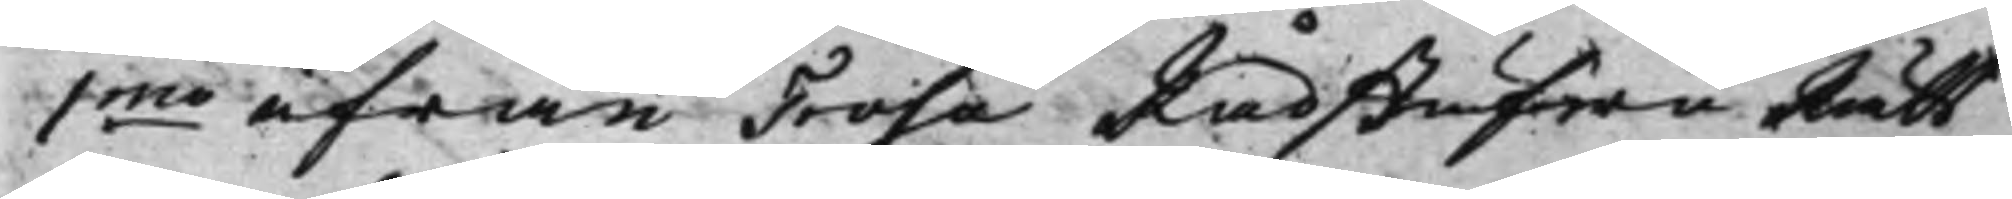1mo ifrån Trosa RådstufwuRätt
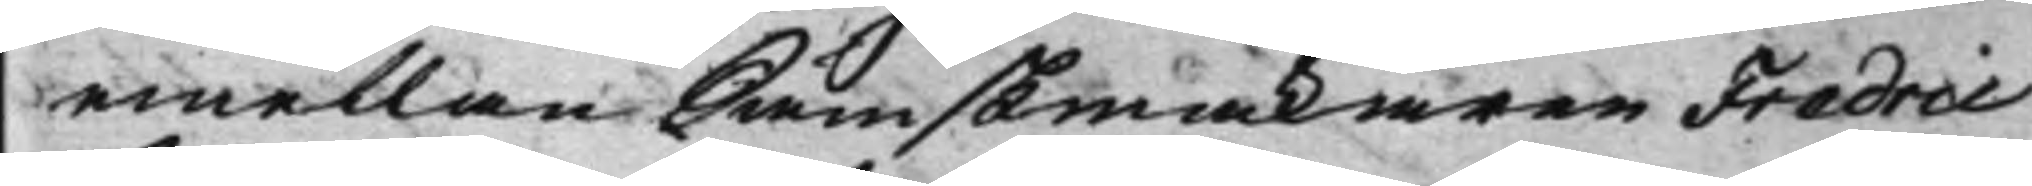emellan Sämskmakaren Fredric
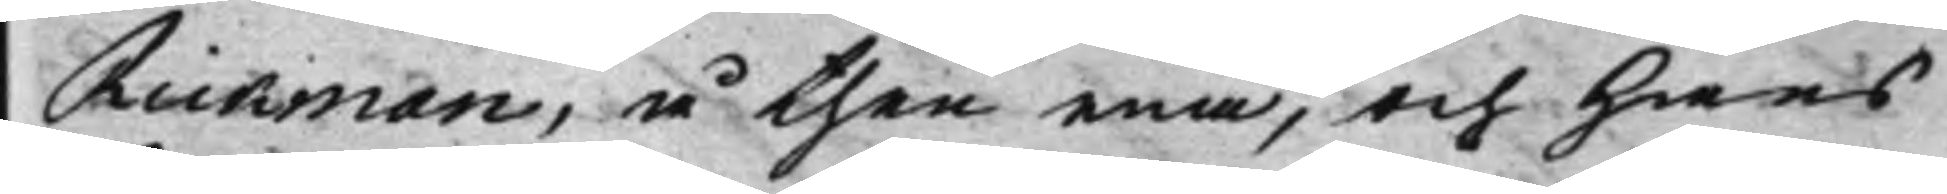Rickman, å then ena, och hans
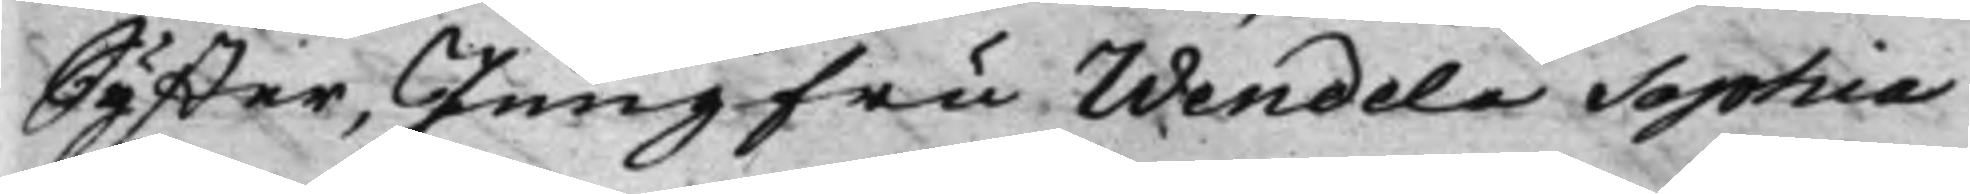Syster, Jungfru Wendela Sophia
